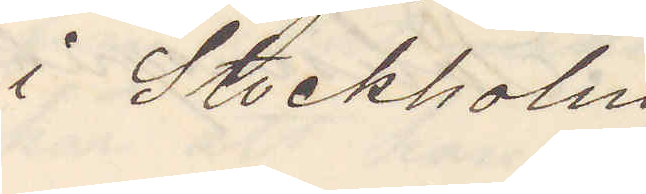i Stockholm.
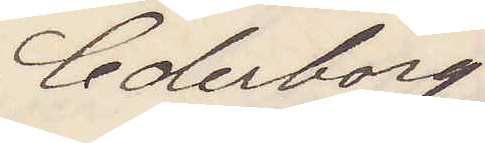Cederborg
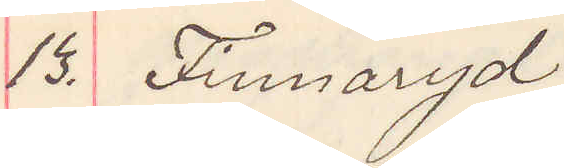13. Finnaryd
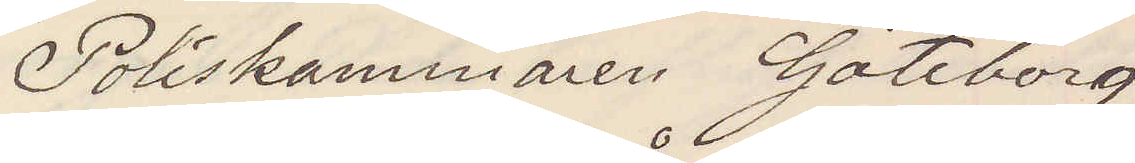Poliskammaren Göteborg
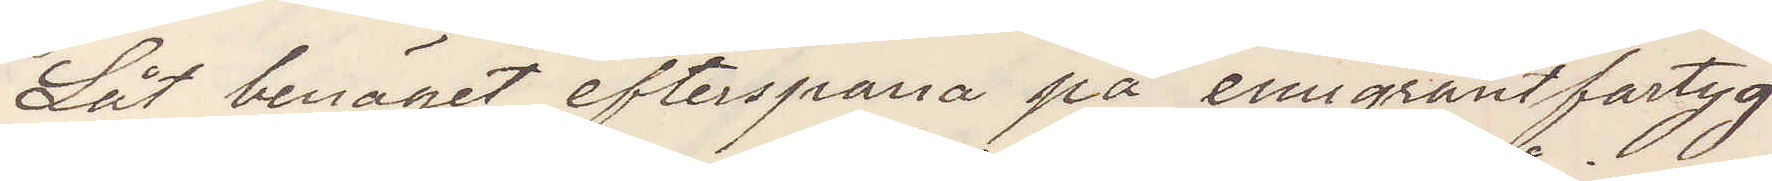Låt benäget efterspana på emigrantfartyg
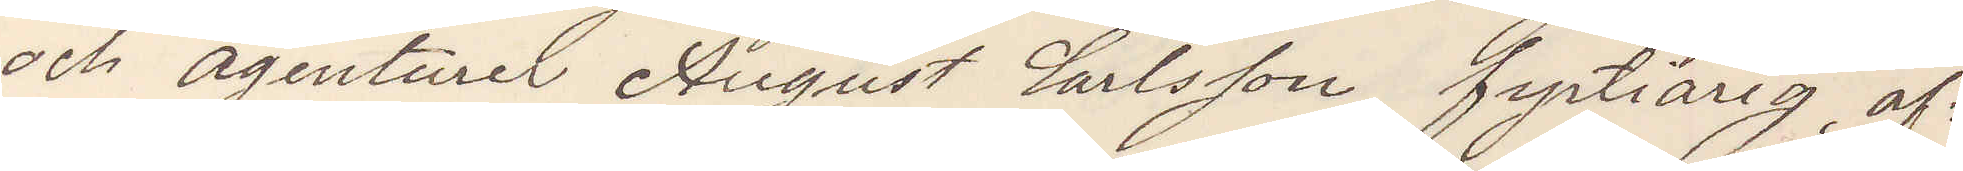och agenturer August Carlsson fyrtiårig af¬
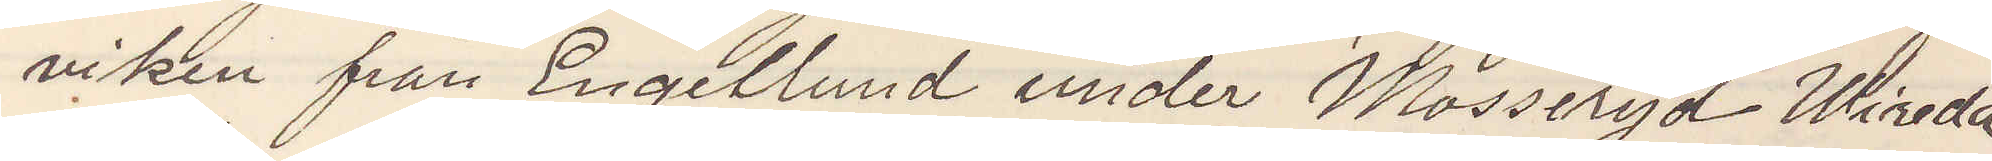viken från Engellund under Mosseryd Wireda
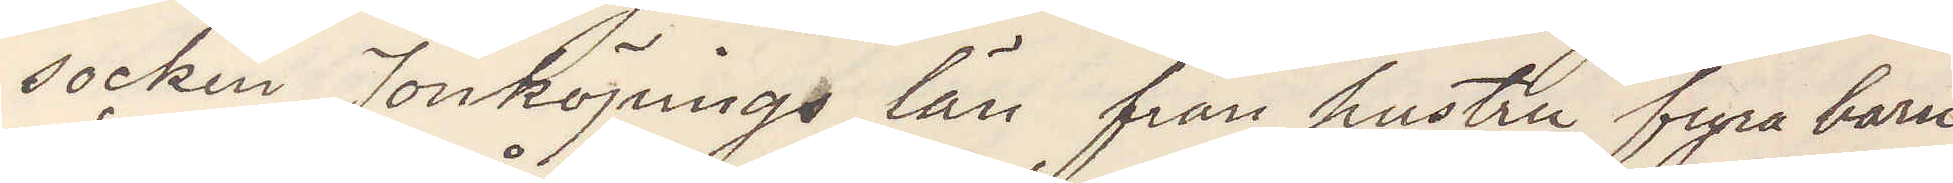socken Jönköpings län från hustru fyra barn
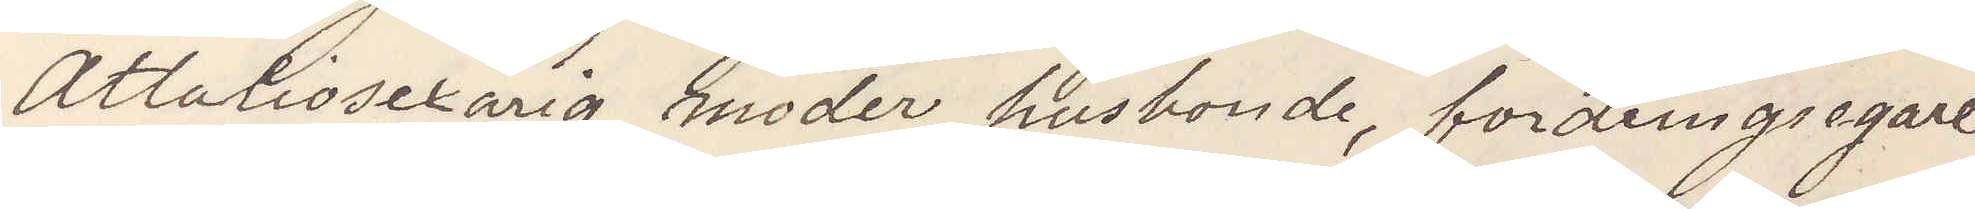åttiosexårig moder husbonde, fordringsegare
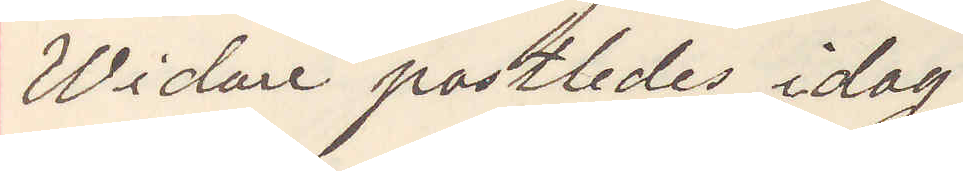Widare postledes idag.
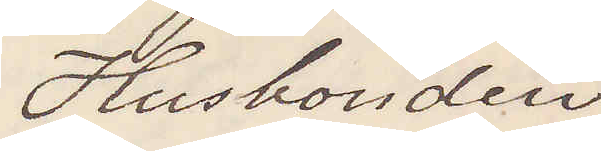Husbonden
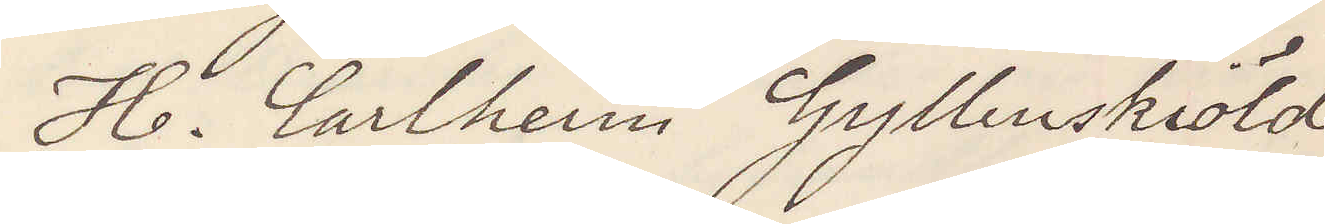H. Carlheim Gyllenskiöld
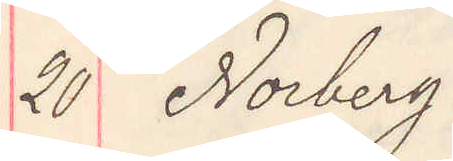20 Norberg
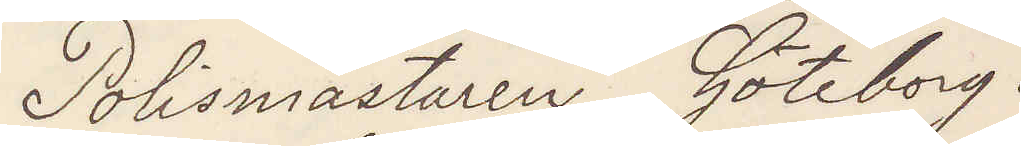Polismästaren Göteborg.
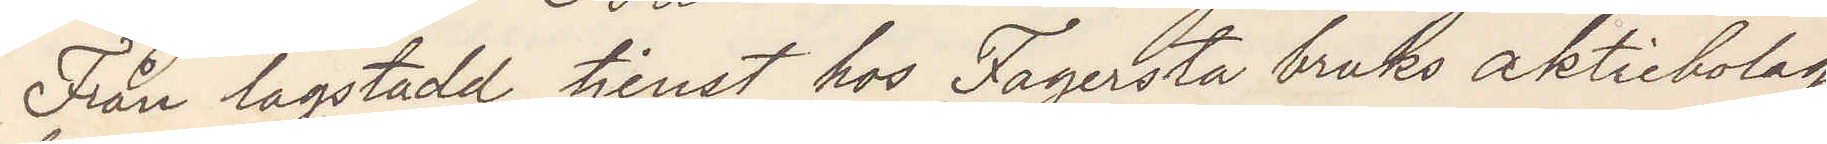Från lagstadd tjenst hos Fagersta bruks aktiebolag
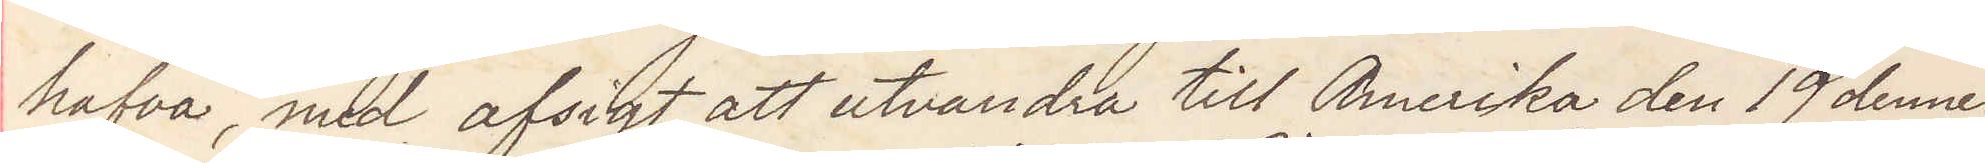hafva, med afsigt att utvandra till Amerika den 19 dennes
